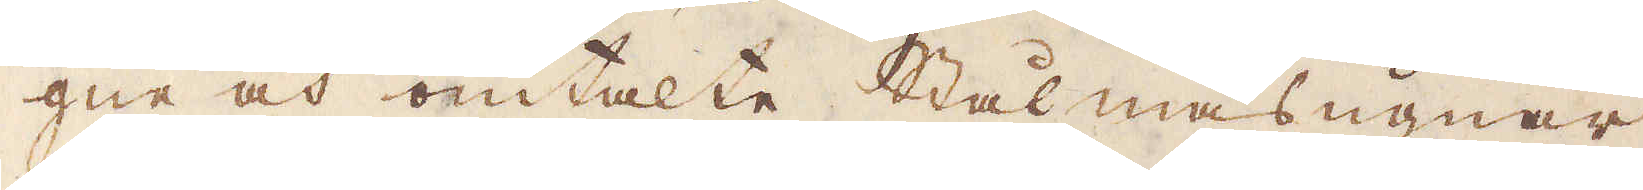gne och omtalte Stålmasugnar,
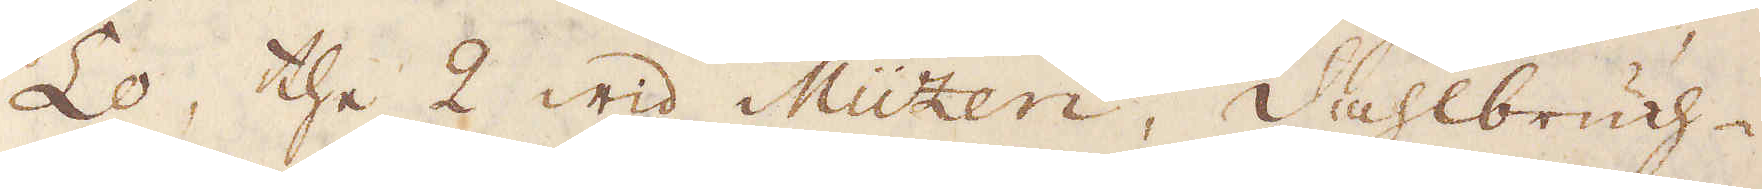Lo, the 2 wid Müzen, Dahlbruch-
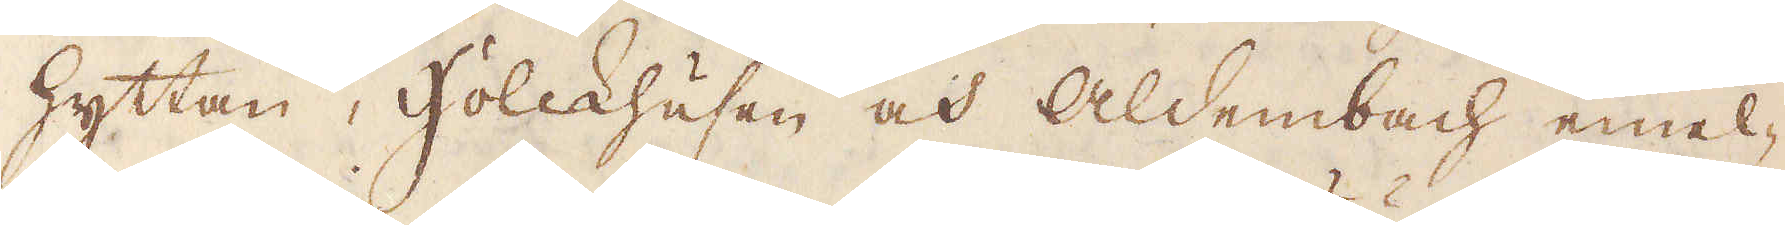hyttan, Holckhusen och Aldembach emel-
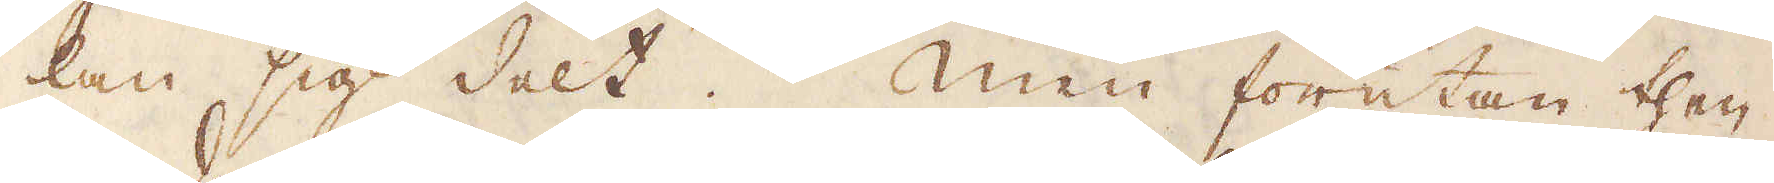lan sig delt. Men förutan then
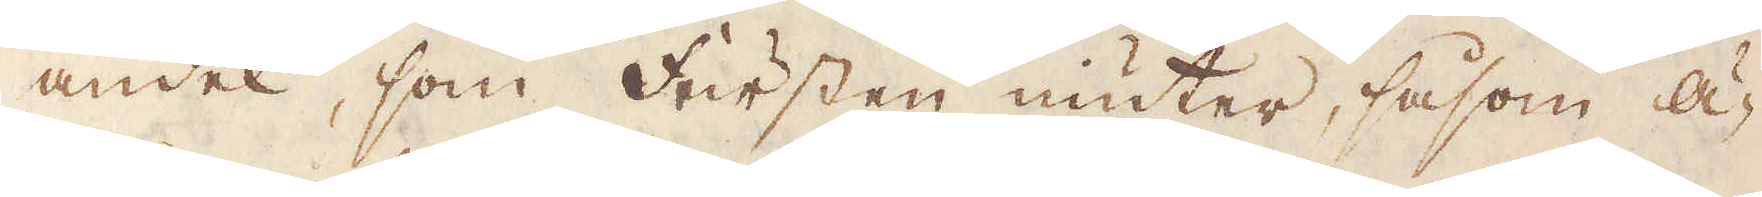andel, som Fursten niuter, såsom ä-
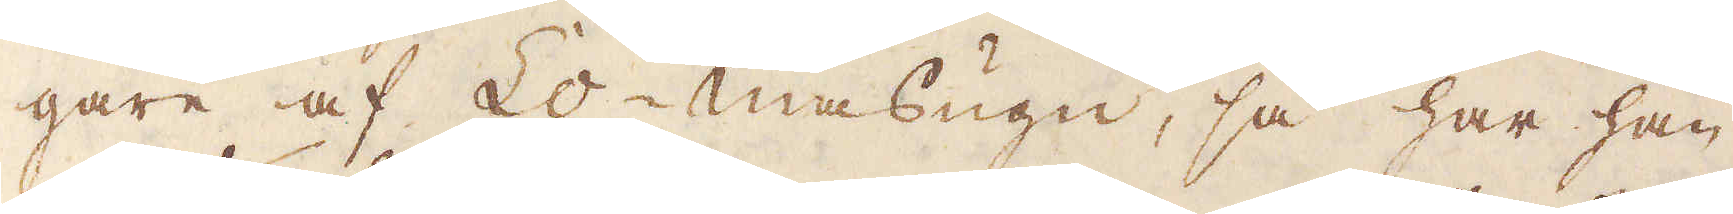gare af Lo-masugn, så har han
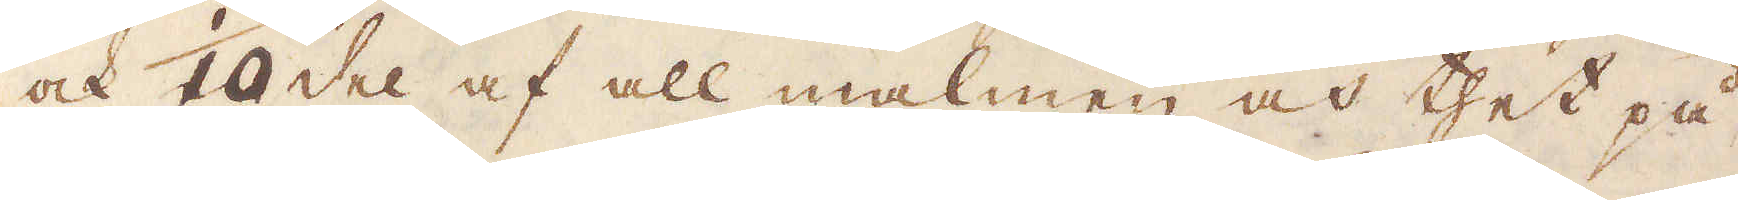ock 1/10 del af all malmen och thet på
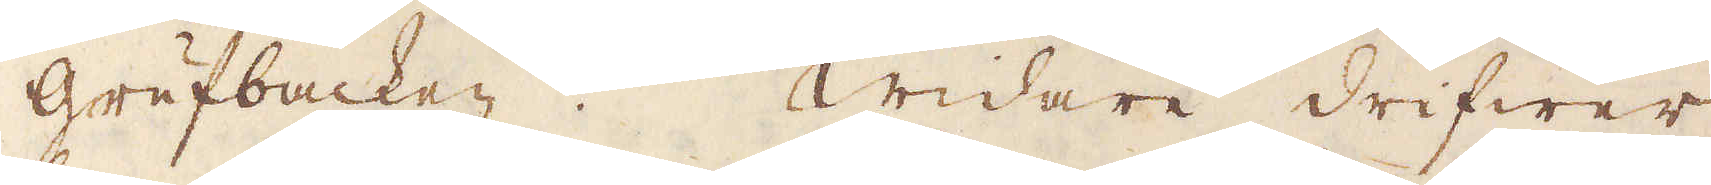grufbacken. Widare drifwer
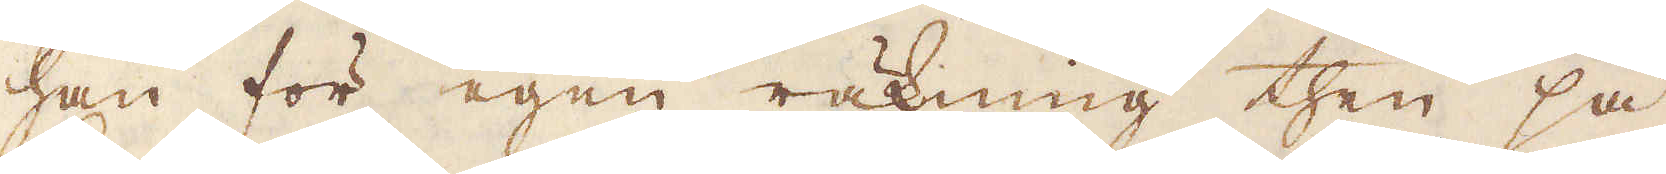han för egen räkning then så
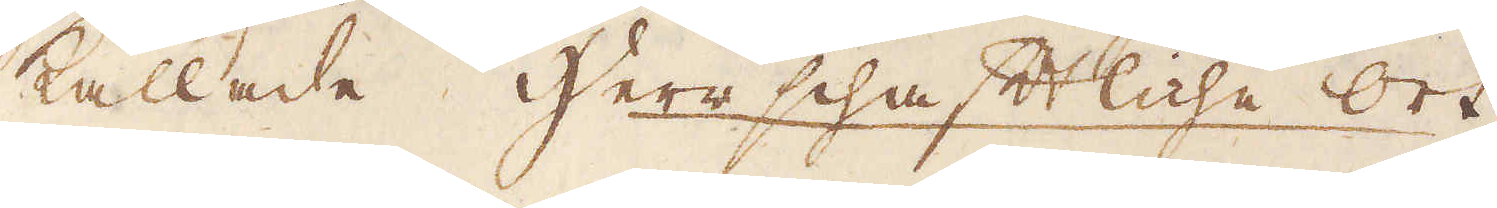kallade Herrschaftliche ort
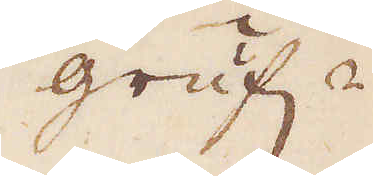gruf-
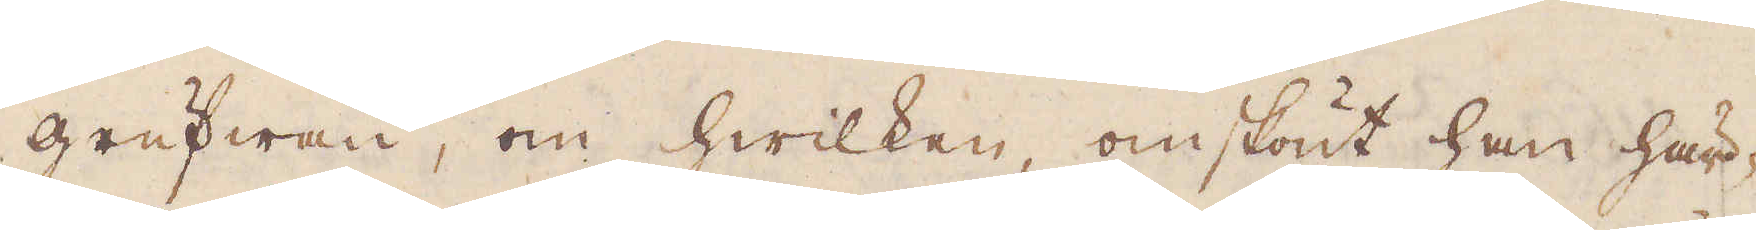grufwan, om hwilken, omskönt han här-
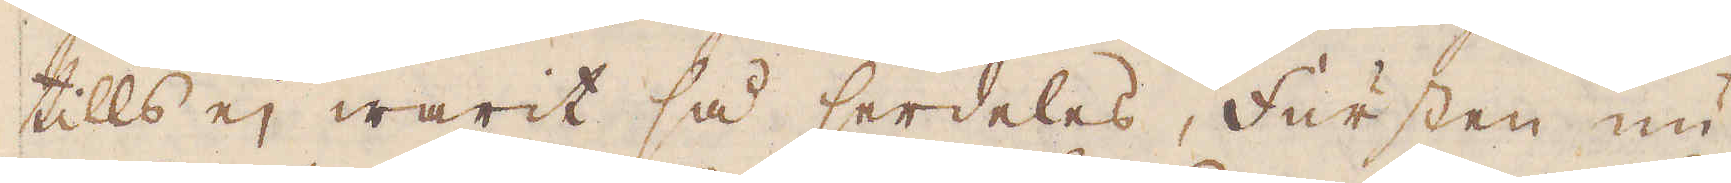tills ej warit så serdeles, Fursten nu
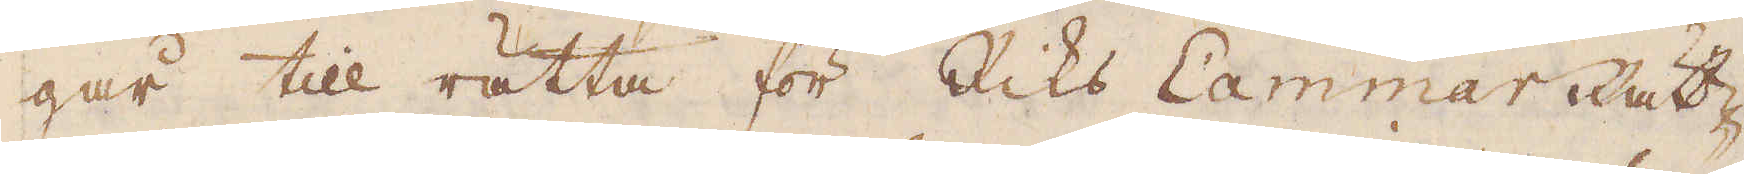går till rätta för Riks Cammar Rät-
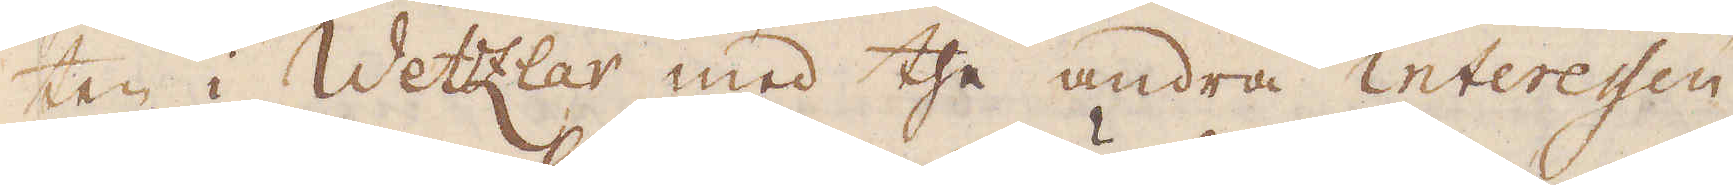ten i Wetzlar med the andra interessen-
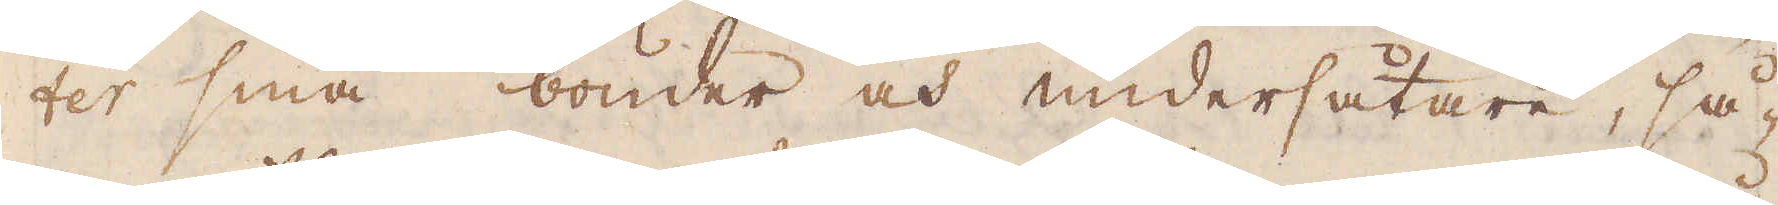ter sina bönder och undersåtare, så-
